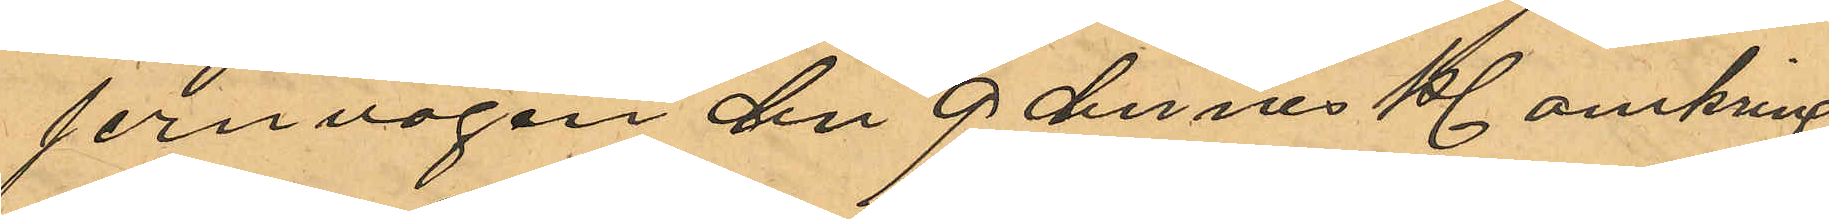jernvägen den 9 dennes Kl. omkring
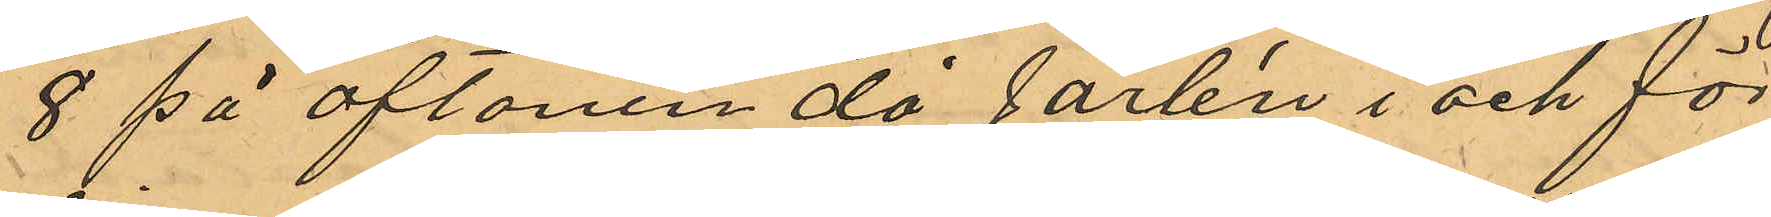8 på aftonen då Jarlén i och för
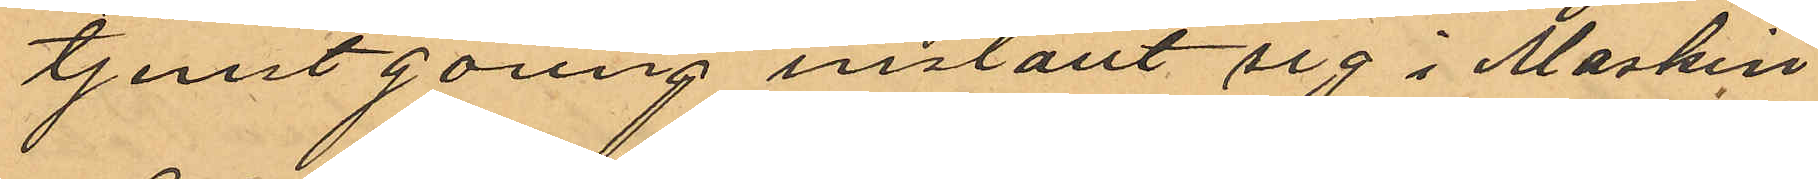tjenstgöring inställt sig i Maskin¬
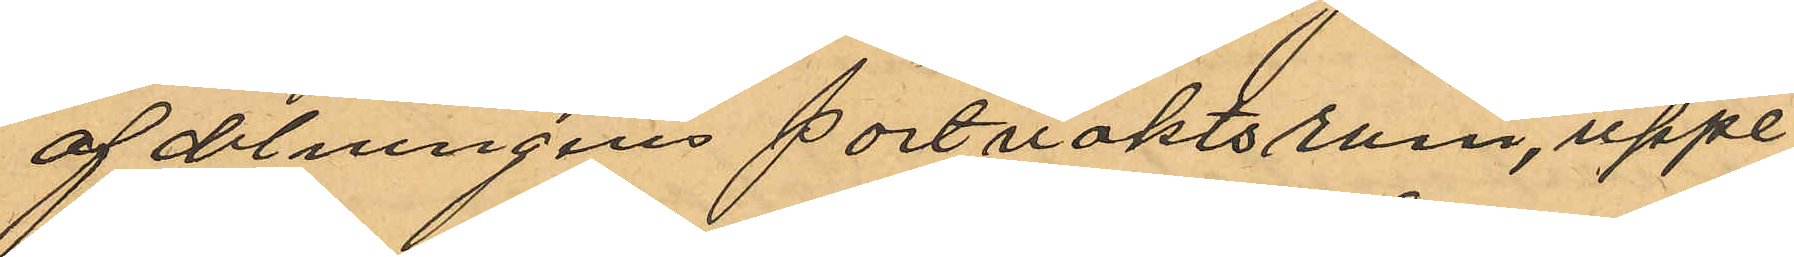afdelningens portvaktsrum, uppe¬
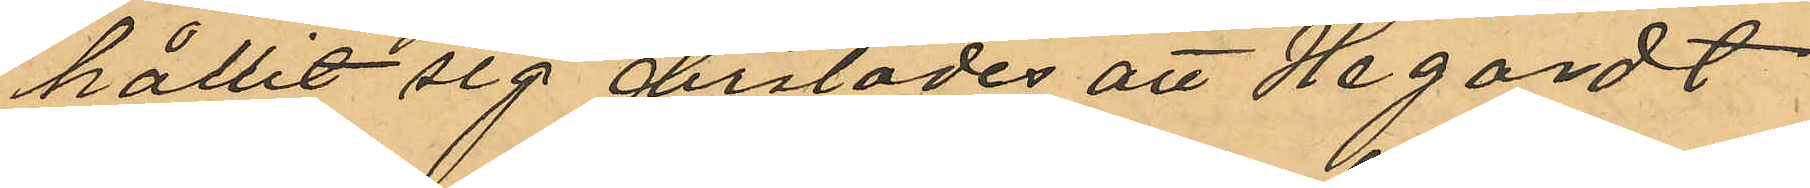hållit sig derstädes att Hagardt
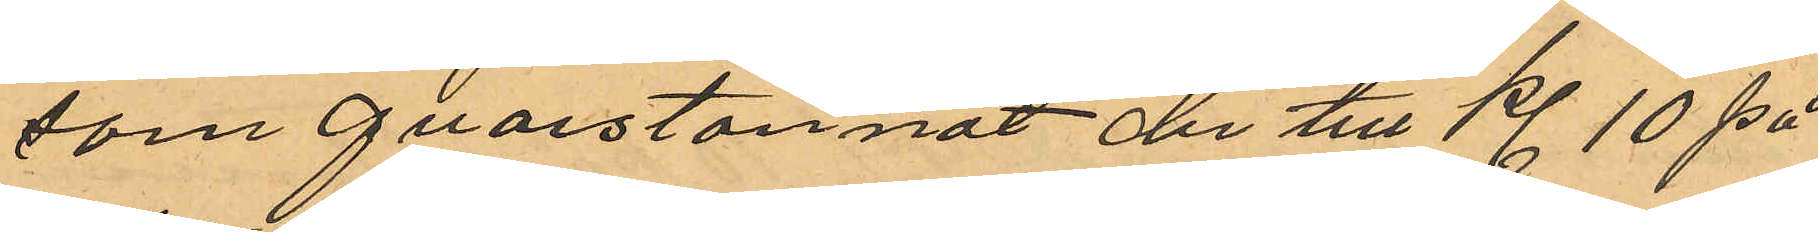som qvarstannat der till Kl. 10 på
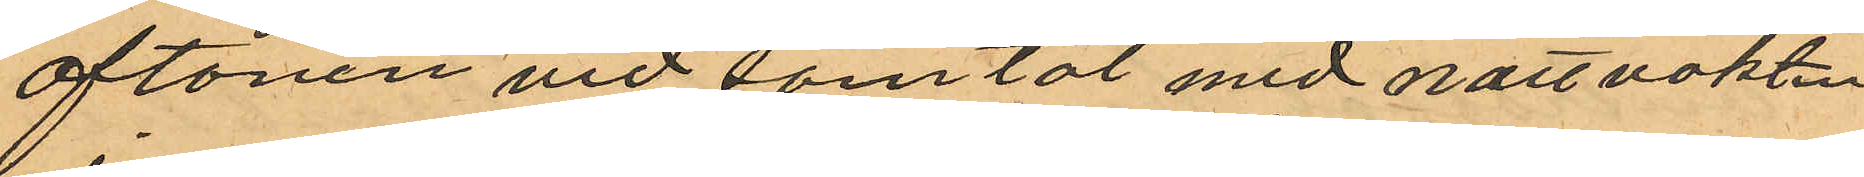aftonen vid samtal med nattvakten
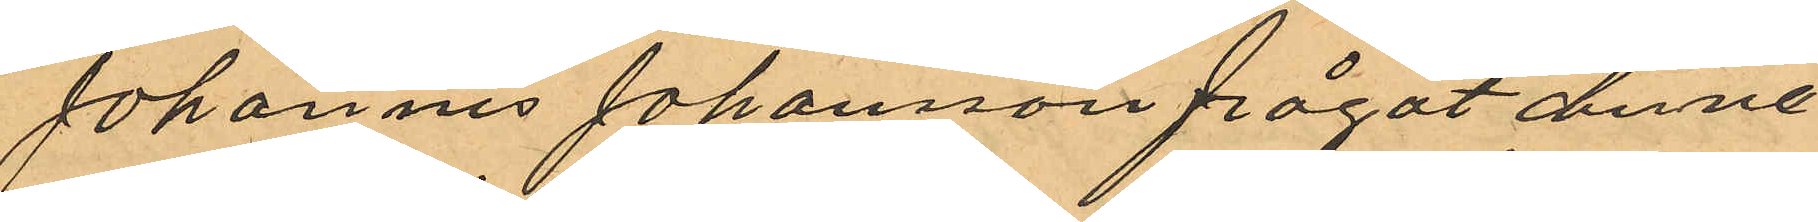Johannes Johansson frågat denne
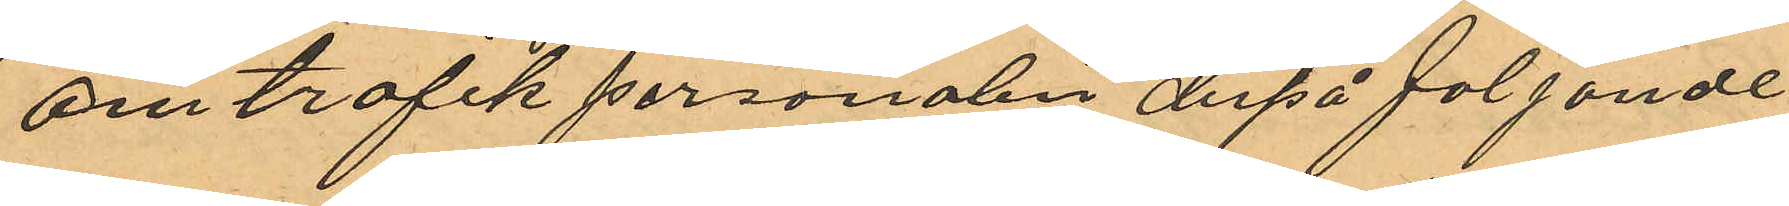om trafik personalen derpå följande
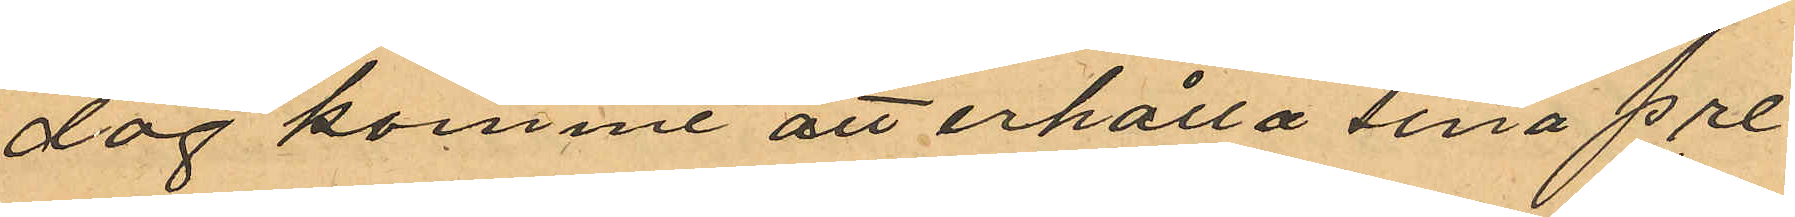dag komme att erhålla sina pre¬
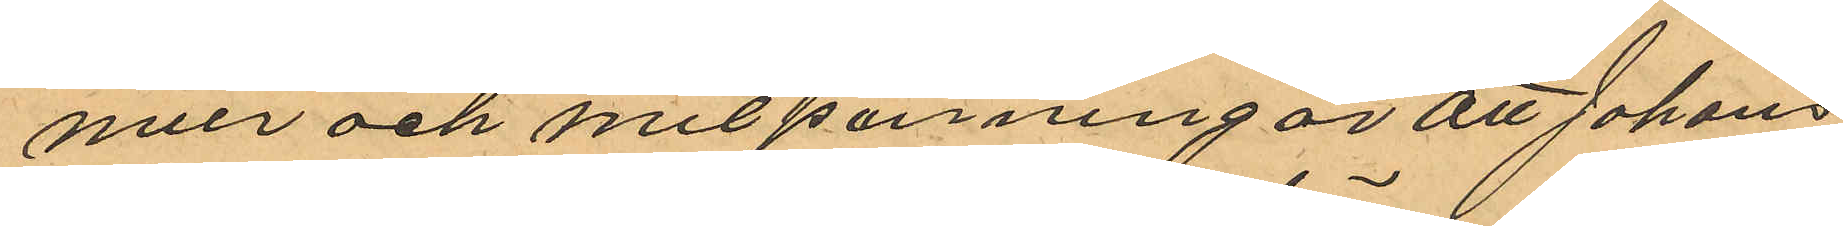mier och milpenningar att Johans¬
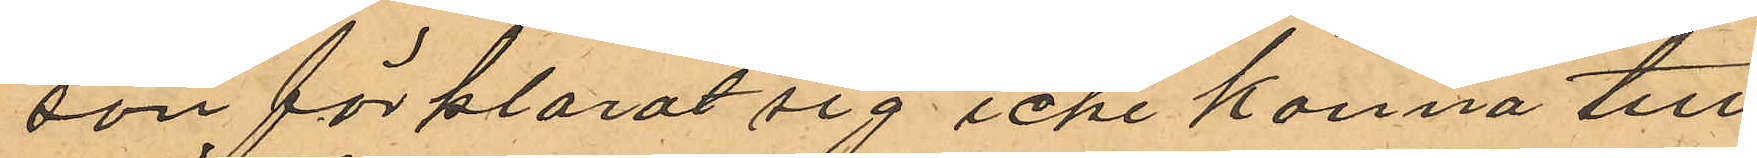son förklarat sig icke känna till
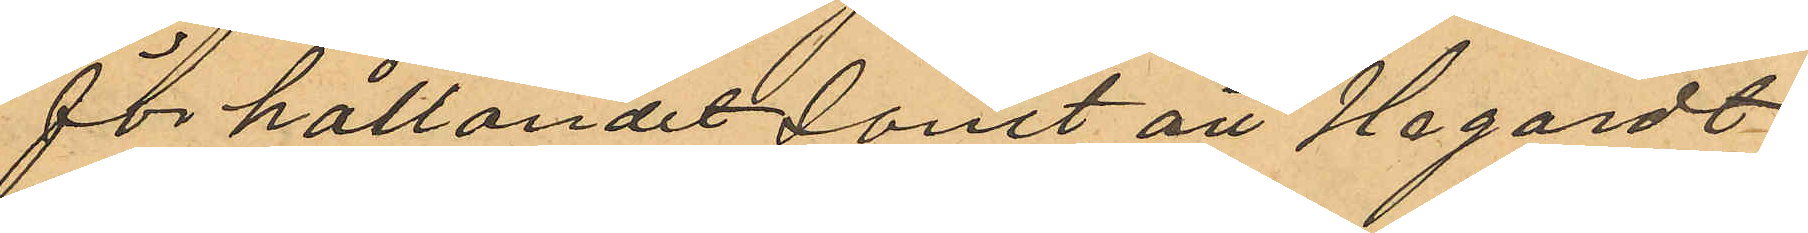förhållandet samt att Hagardt
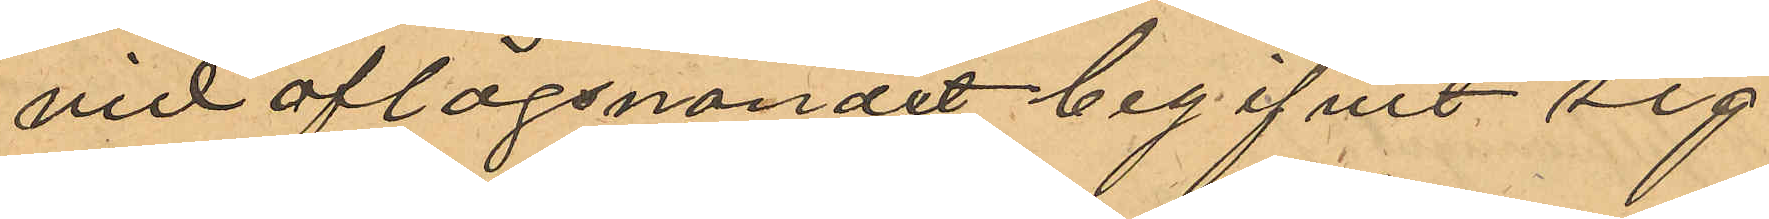vid aflägsnandet begifvit sig
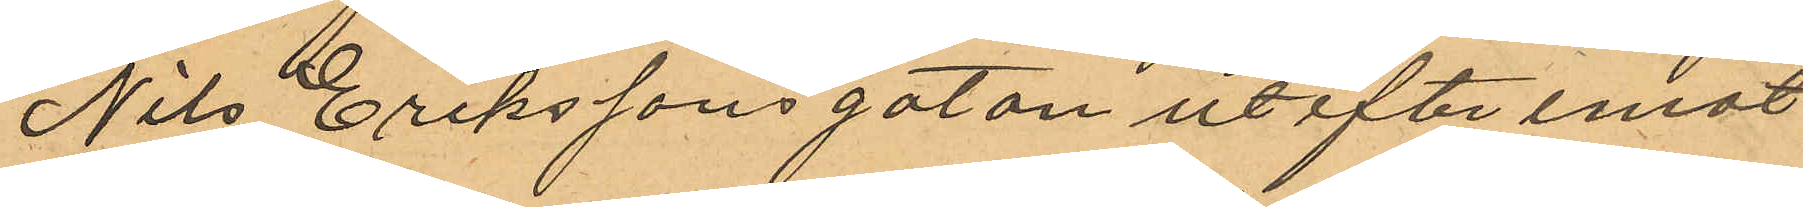Nils Erikssonsgatan utefter emot
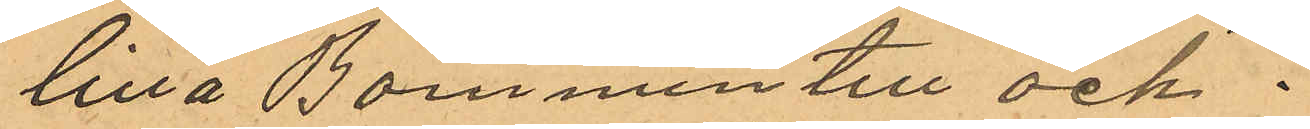lilla Bommen till och 
